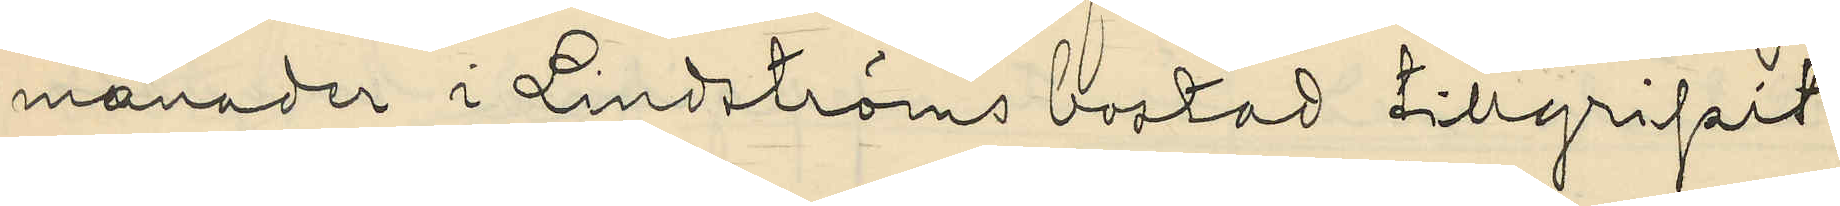månader i Lindströms bostad tillgripit
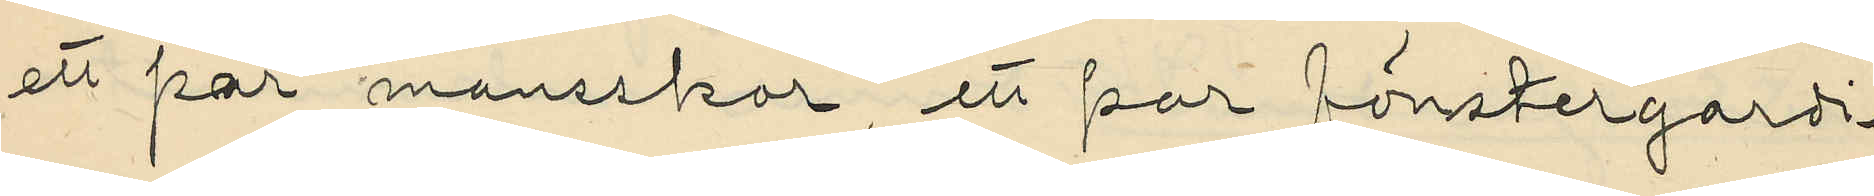ett par mansskor, ett par fönstergardi¬
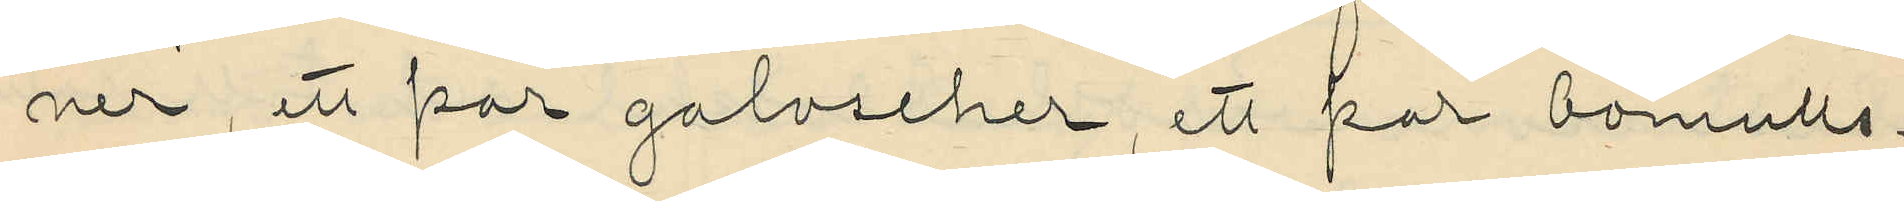ner, ett par galoscher, ett par bomulls¬
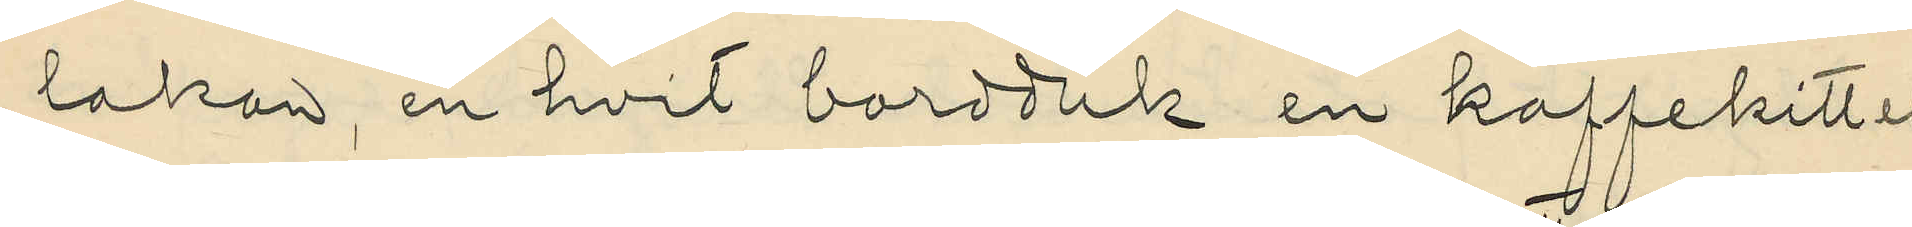lakan, en hvit bordduk en kaffekittel
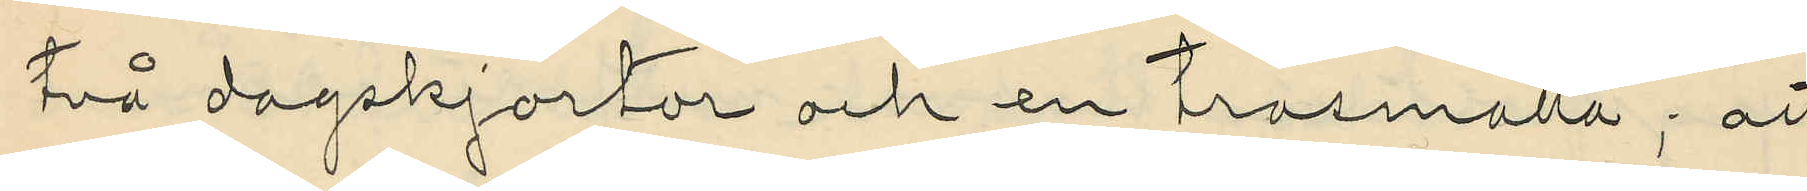två dagskjortor och en trasmatta; att
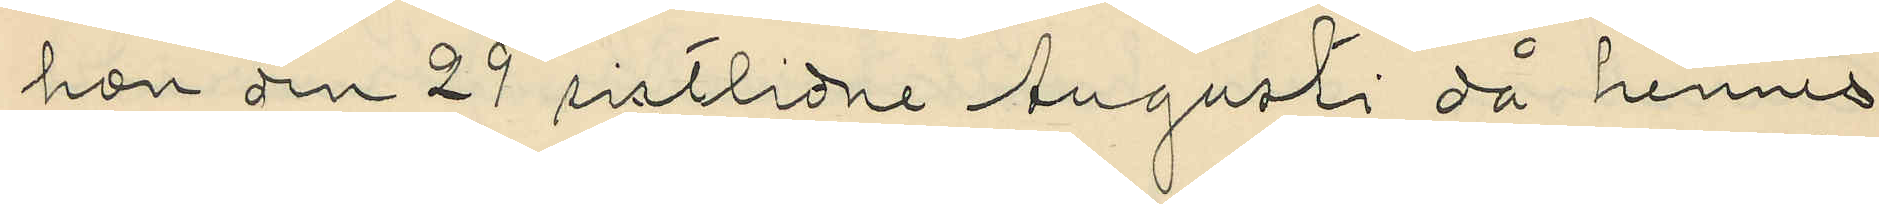hon den 29 sistlidne Augusti då hennes
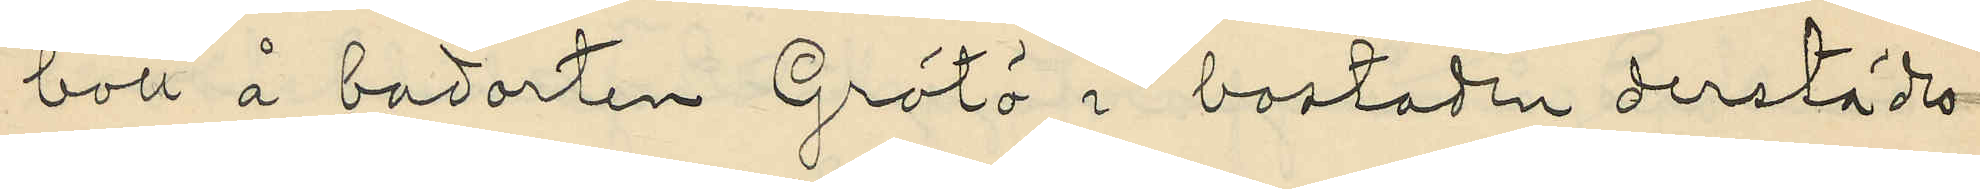bott å badorten Grötö i bostaden derstädes
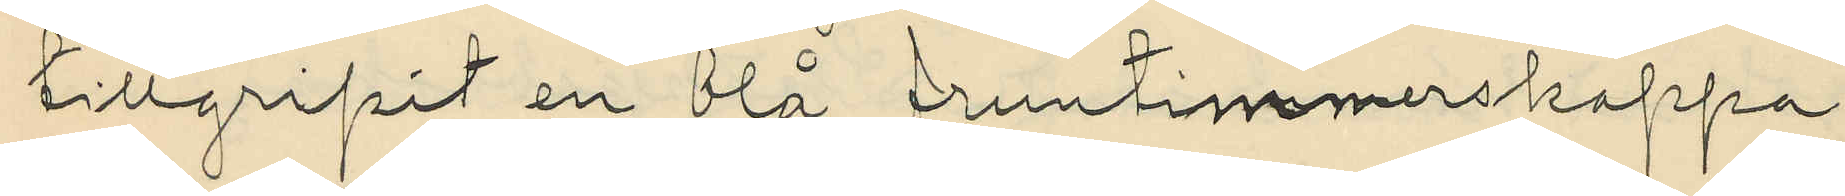tillgripit en blå fruntimmerskappa,
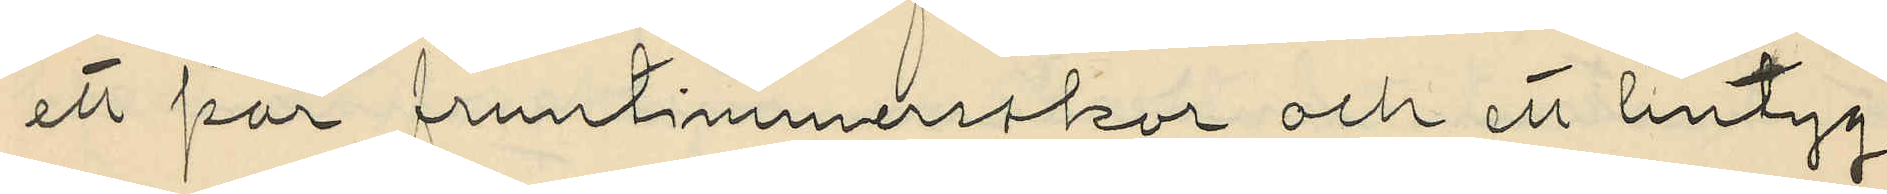ett par fruntimmersskor och ett lintyg,
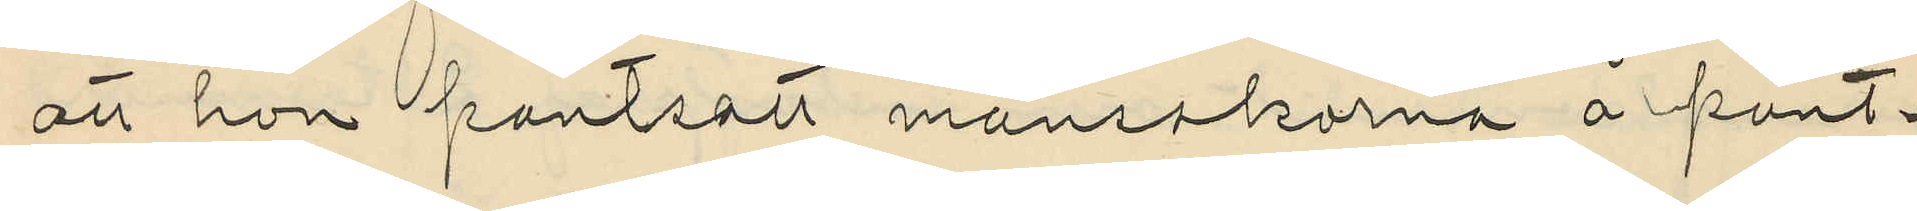att hon pantsatt mansskorna å pant¬
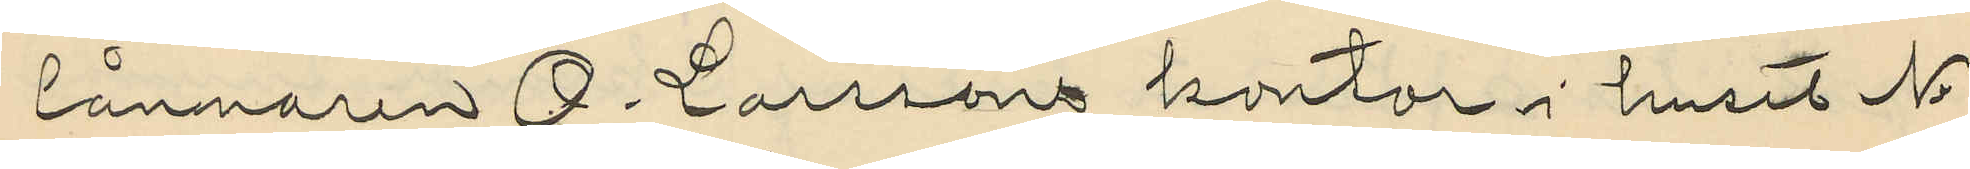lånnaren O. Larssons kontor i huset No
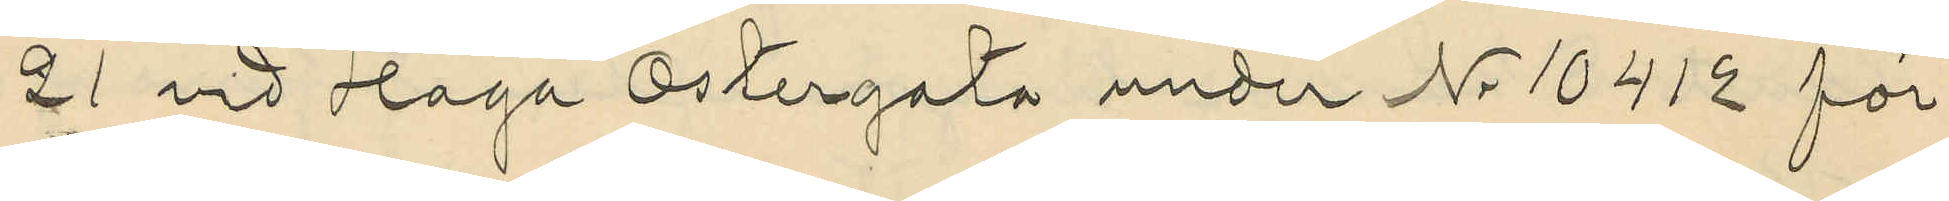21 vid Haga Östergata under Nr 10412 för
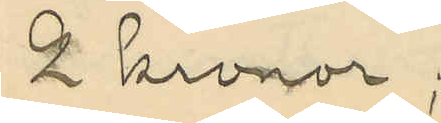2 kronor;
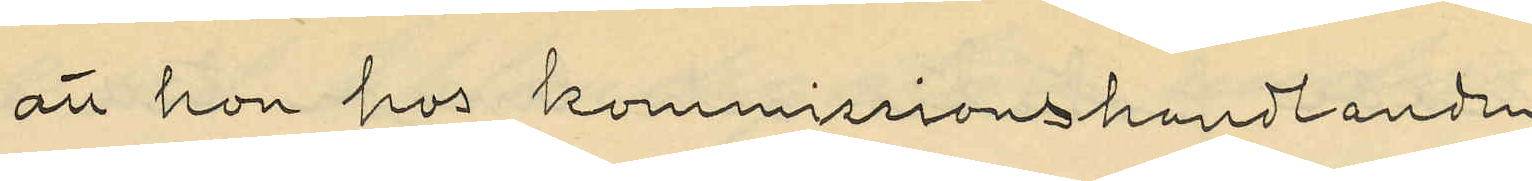att hon hos kommissionshandlanden
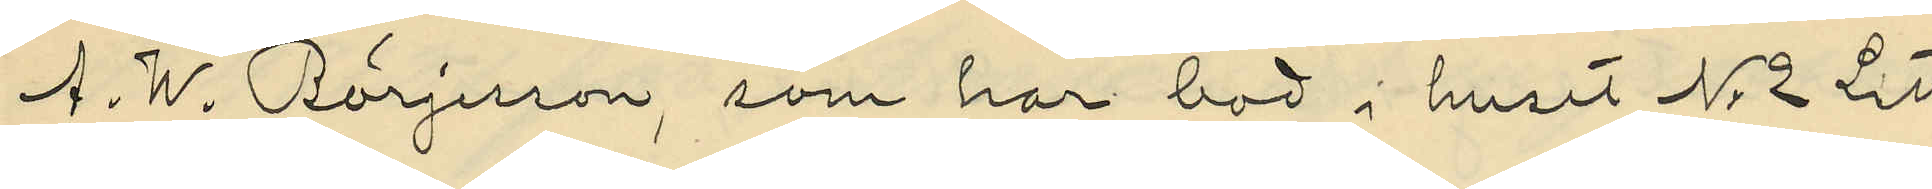A. W. Börjesson, som har bod i huset No 2 Litt
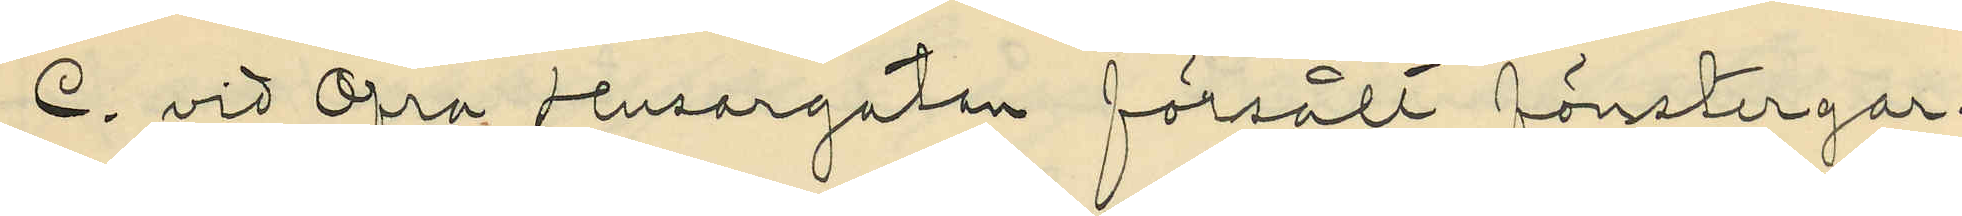C. vid Öfra Husargatan försålt fönstergar¬
